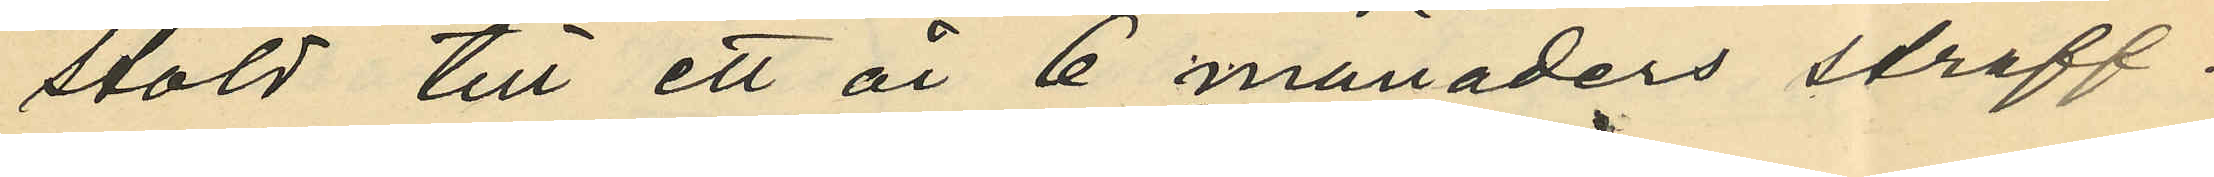stöld till ett år 6 månaders straff¬
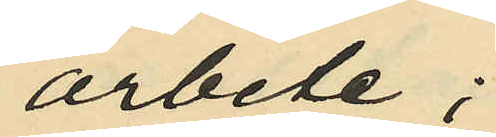arbete;
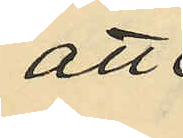att
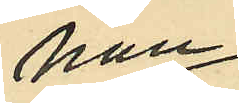han
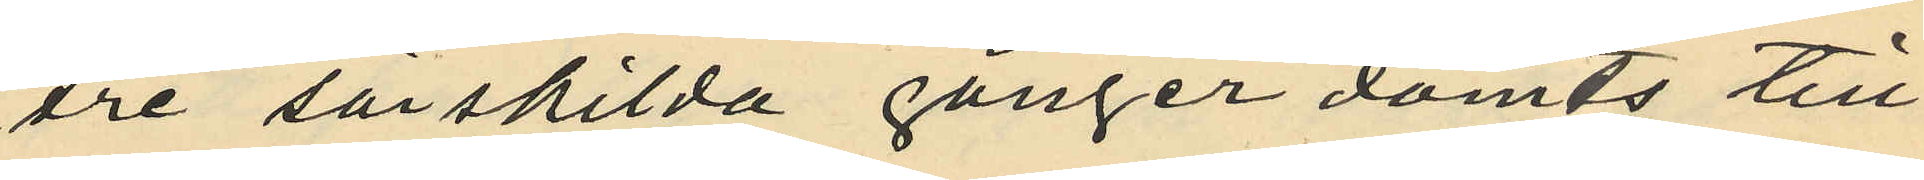tre särskilda gånger dömts till
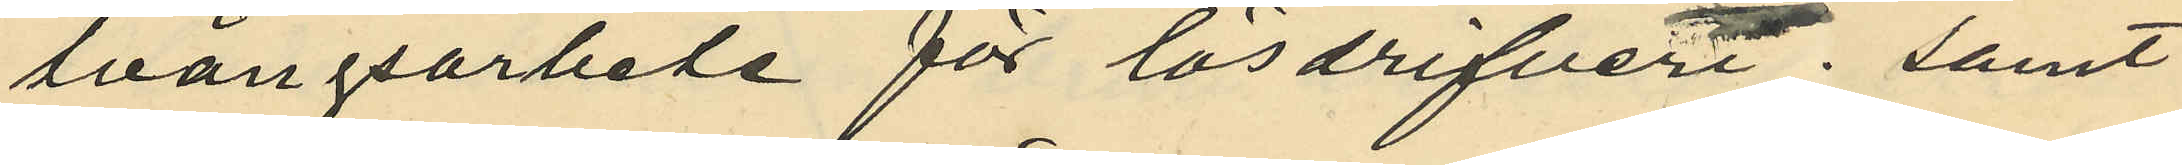tvångsarbete för lösdrifveri; samt
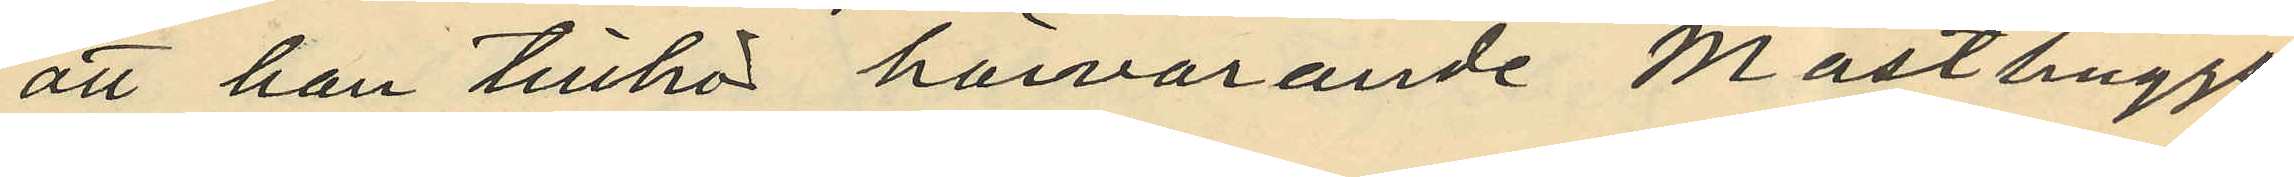att han tillhör härvarande Masthuggs¬
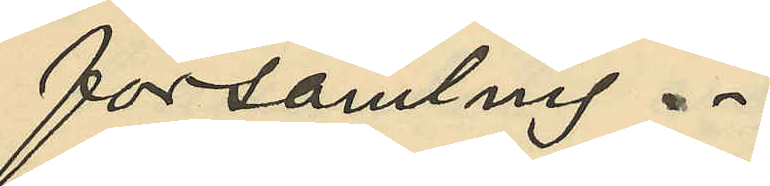församling.
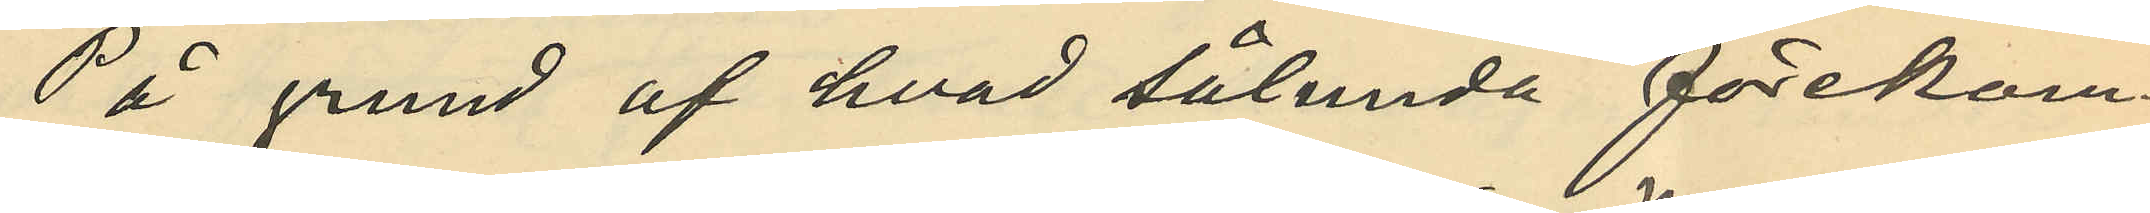På grund af hvad sålunda förekom¬
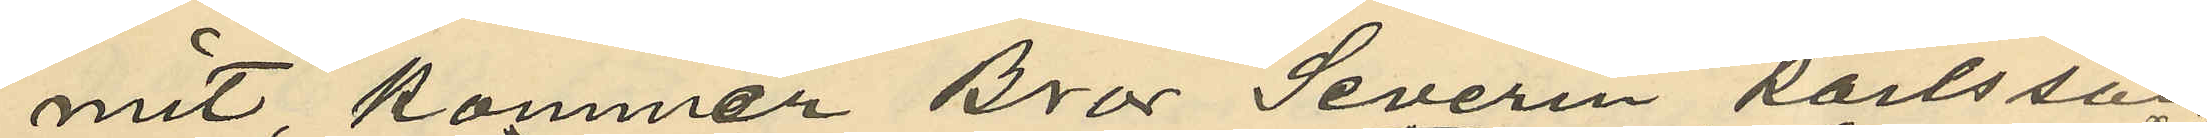mit kommer Bror Severin Karlsson
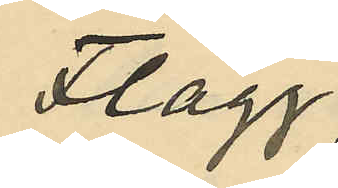Flagg
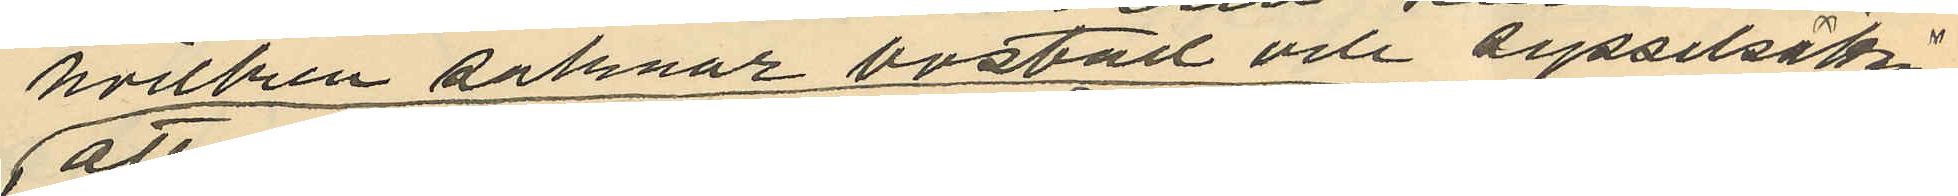vilken saknar bostad och sysselsättning
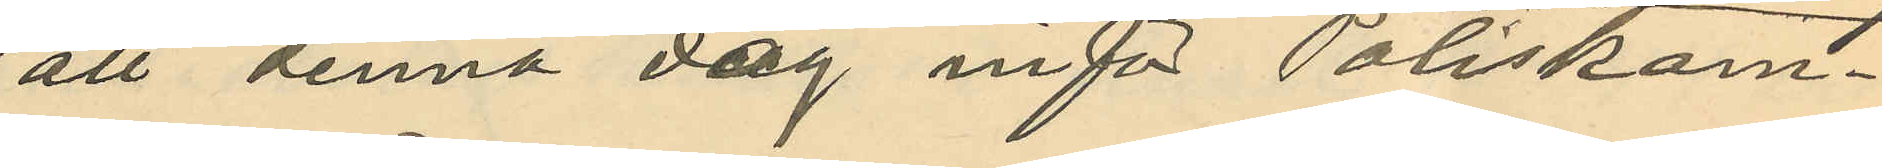att denna dag inför Poliskam¬
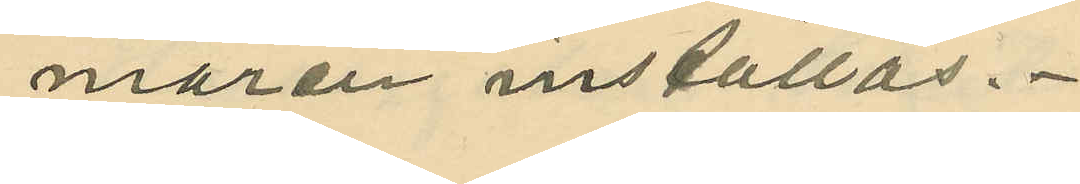maren inställas.
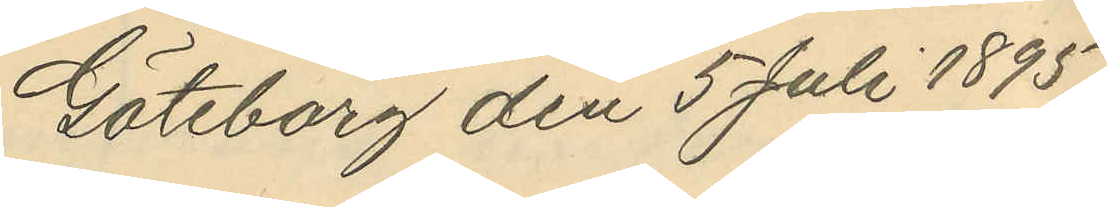Göteborg den 5 Juli 1895.
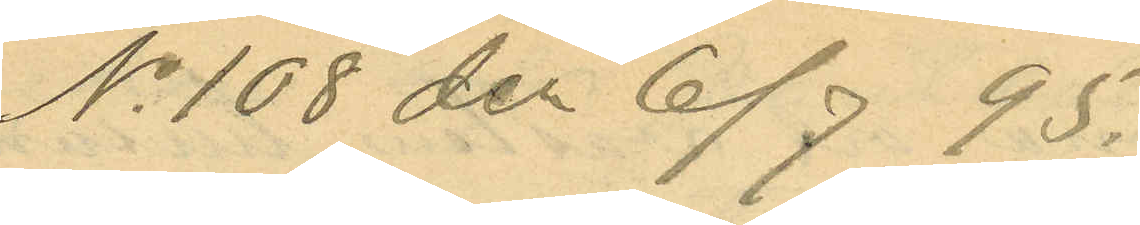No 108 der 6/7 95.
